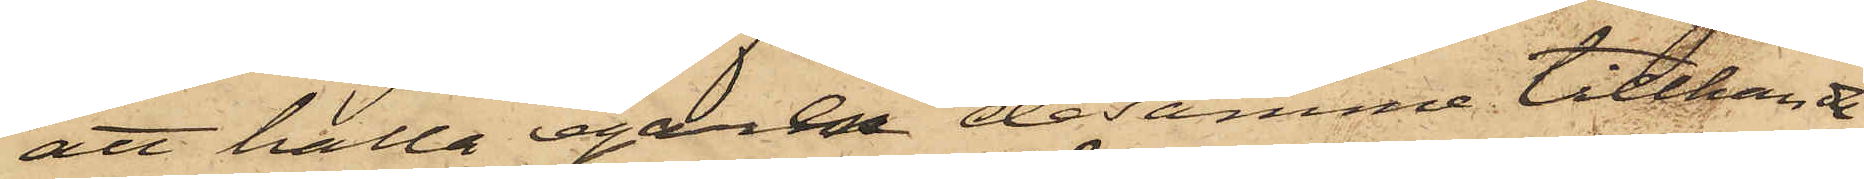att hålla egaren desamme tillhanda
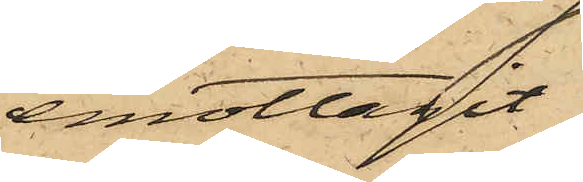emottagit
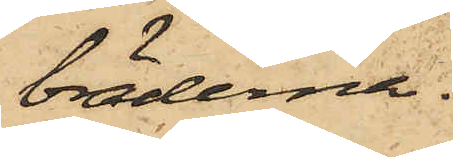bräderna.
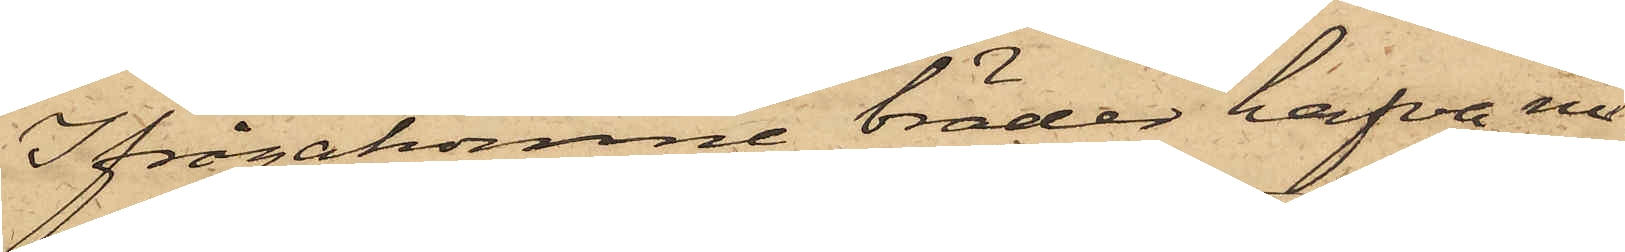Ifrågakomne bräder hafva nu¬
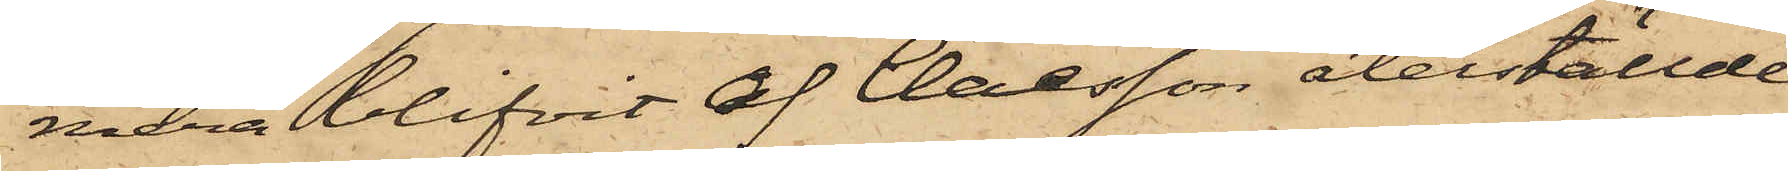mera blifvit af Claesson återställde
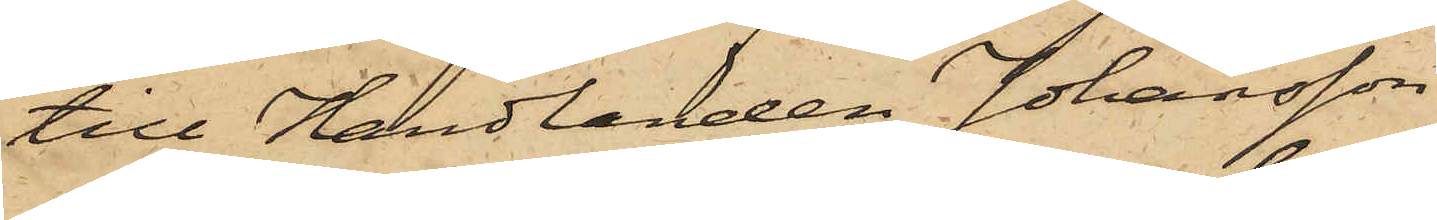till Handlanden Johansson.
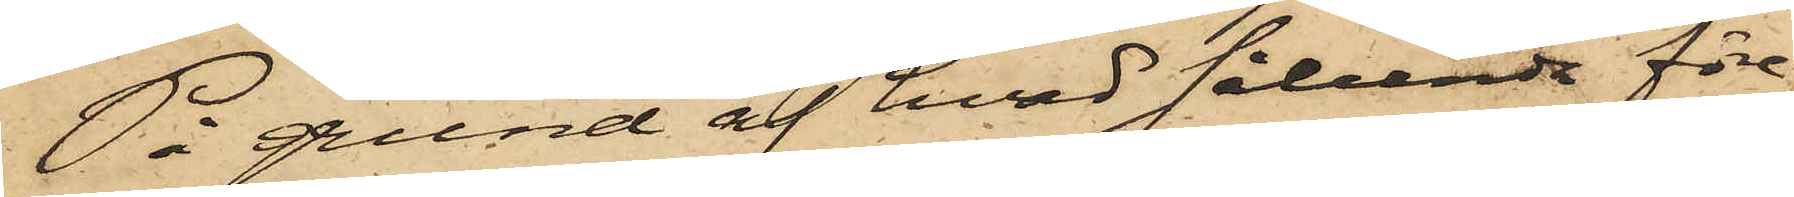På grund af hvad sålunda före¬
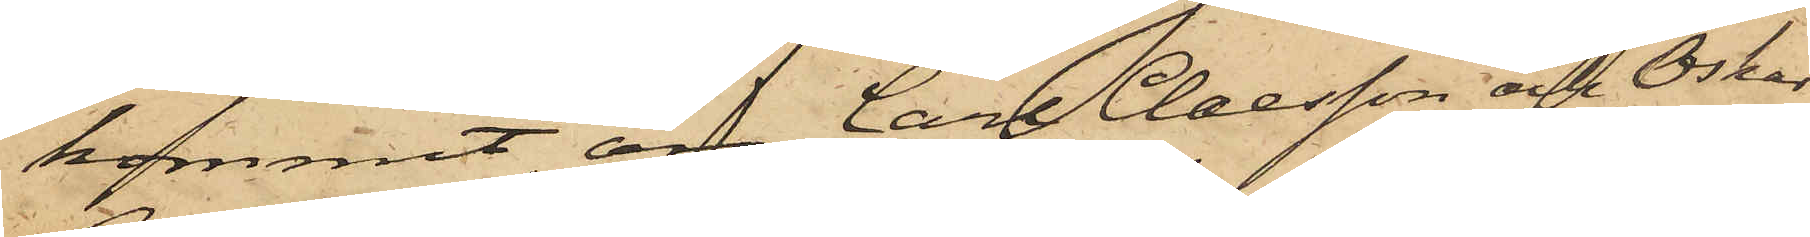kommit, äro Carl Claesson och Oskar
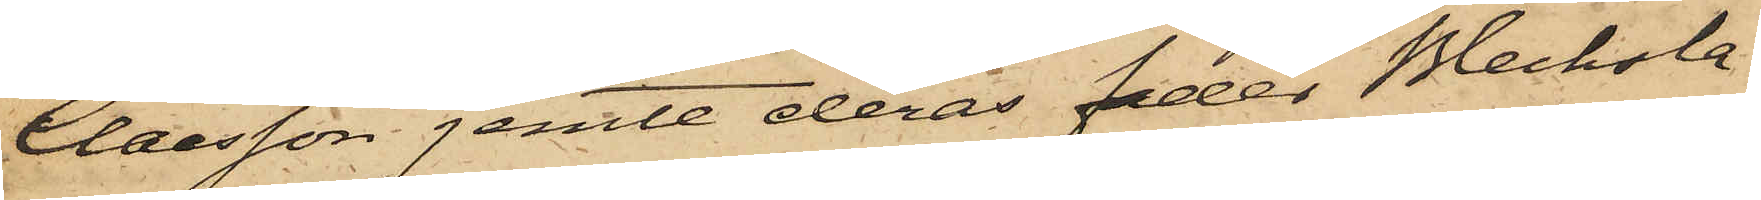Claesson jemte deras fader Blecksla¬
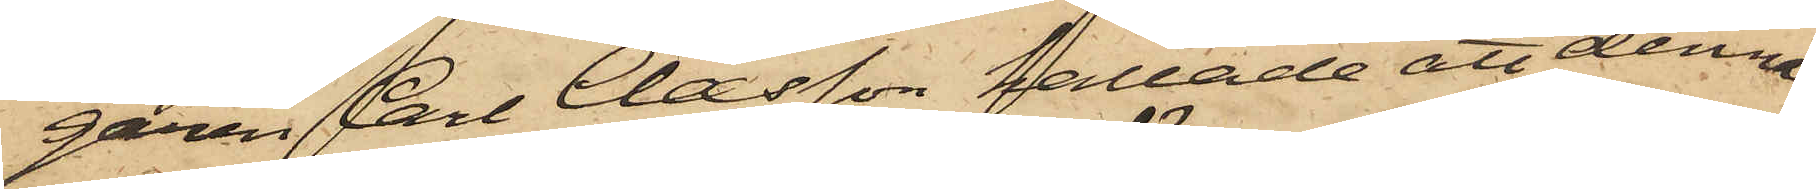garen Carl Claesson kallade att denna
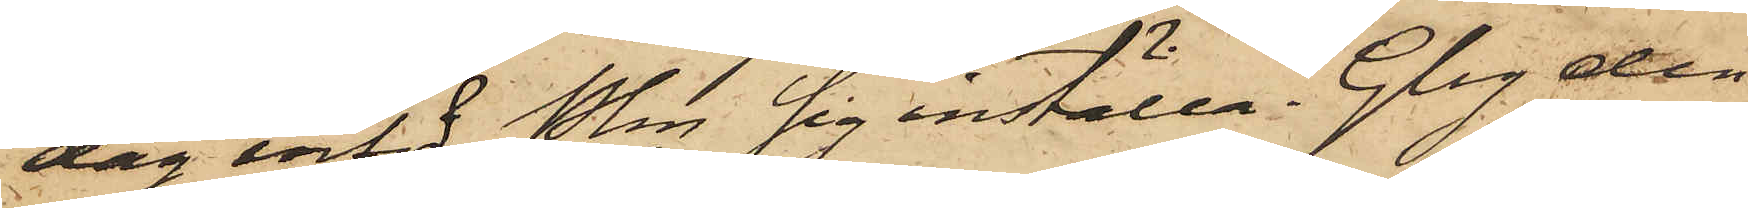dag inför Pkn sig inställa. Gbg den
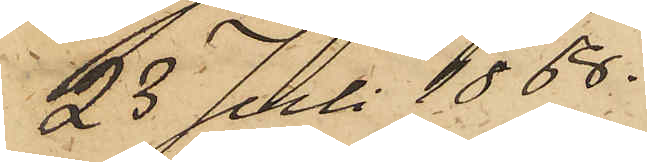23 Juli 1868.
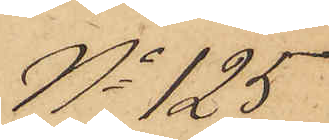No 125
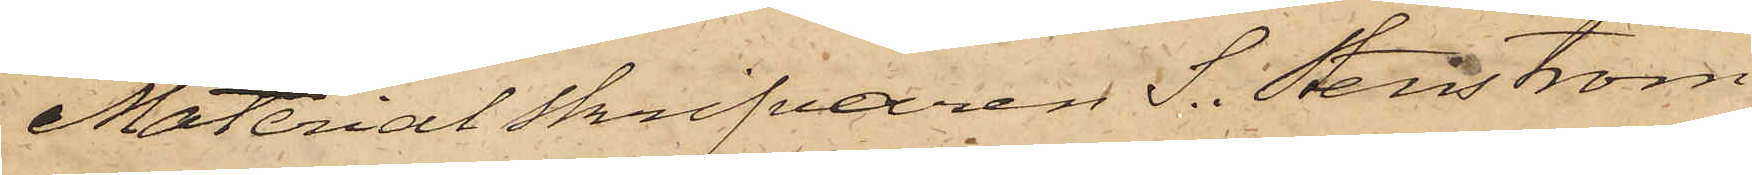MaterialSkrifvaren S. Stenström
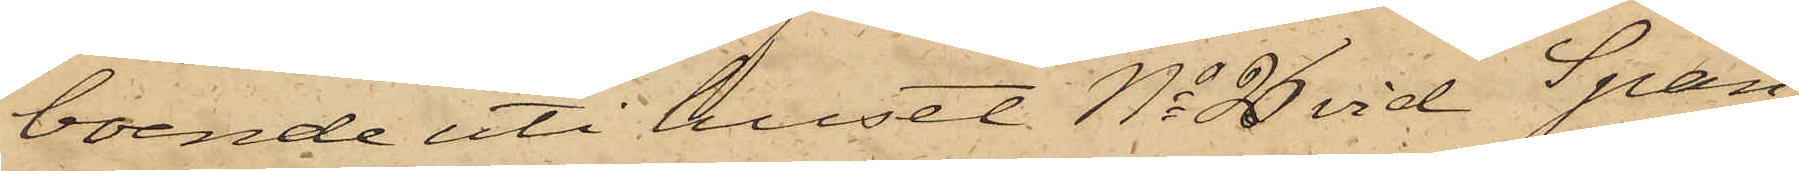boende uti huset No 26 vid Span¬
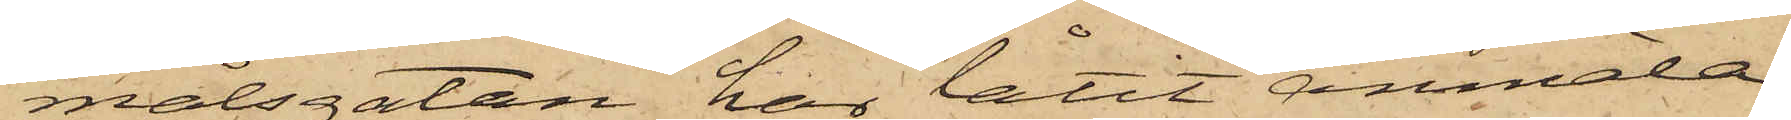målsgatan har låtit anmäla
